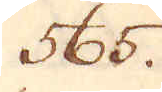565.
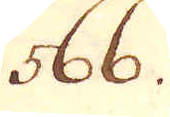566.
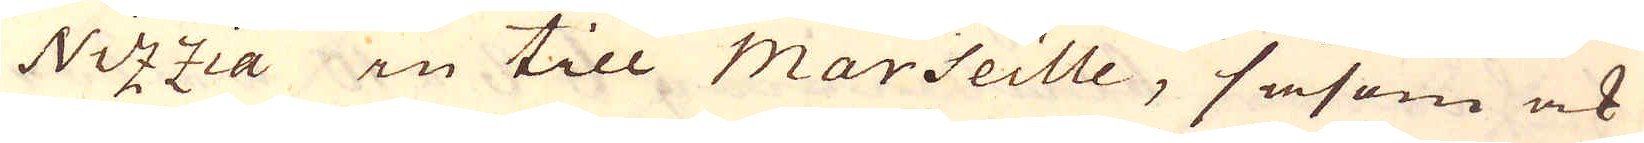Nizzia in till Marseille, såsom ock
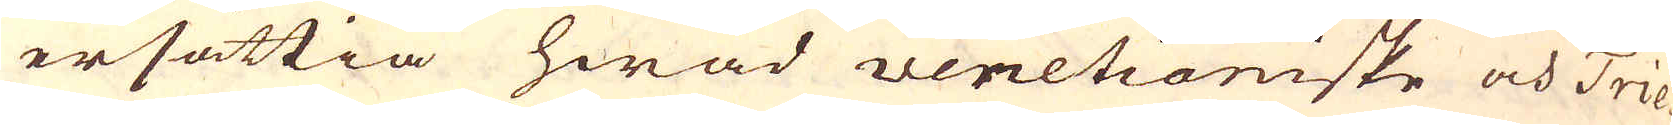ersättia hwad venetianiske och Trie-
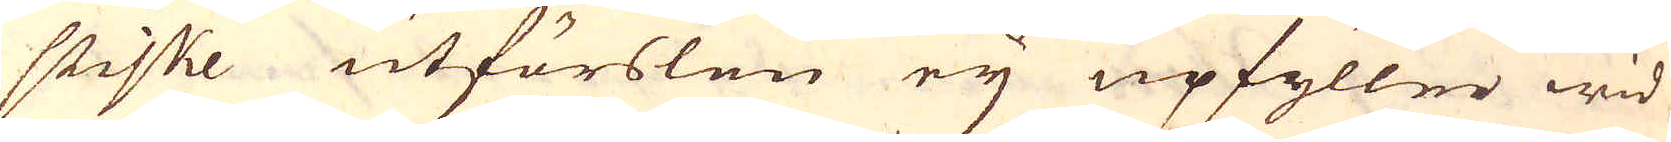stiske utförslen eij upfyller wid
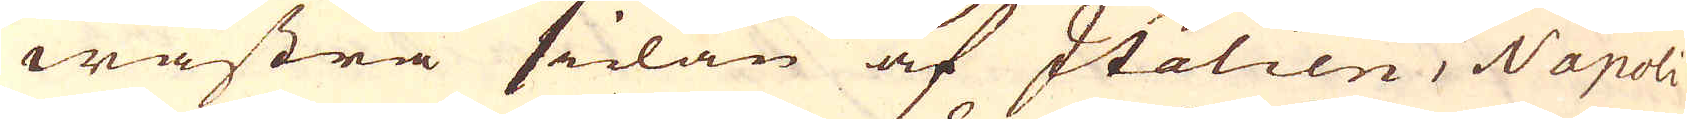wästra sidan af Italien, Napoli
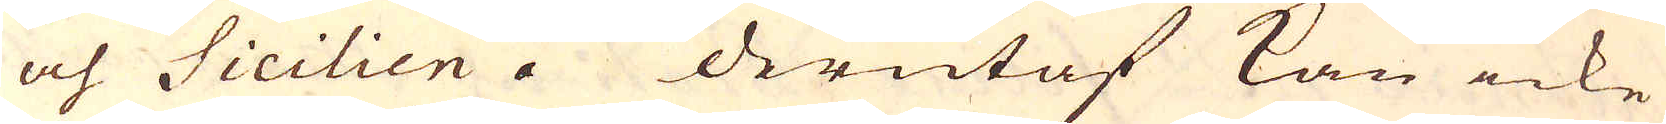och Sicilien. Derutaf kan icke
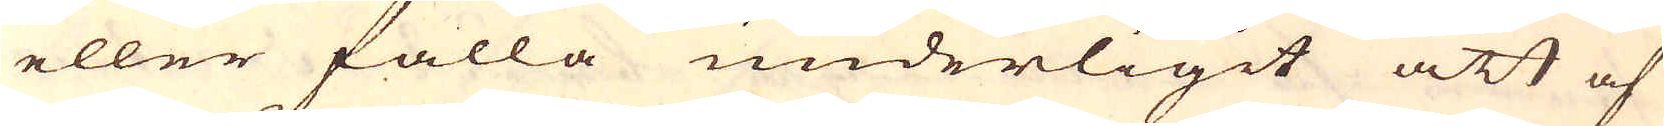eller falla underligit att af
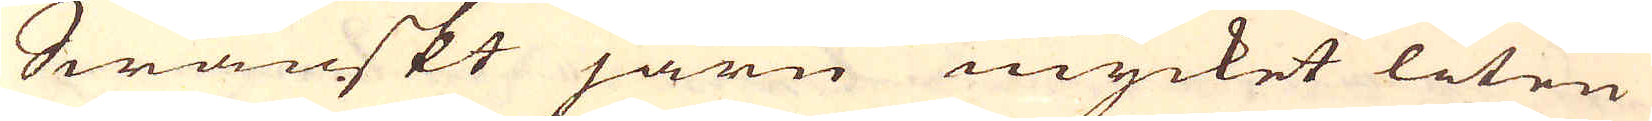Swänskt järn mycket liten
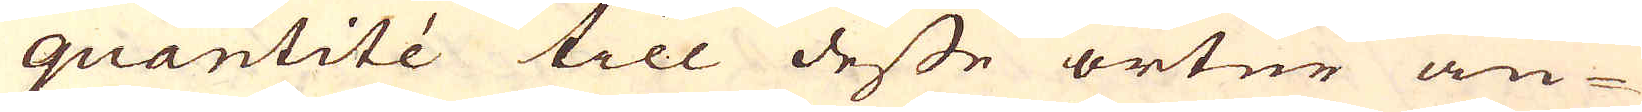quantité till desse orter an-
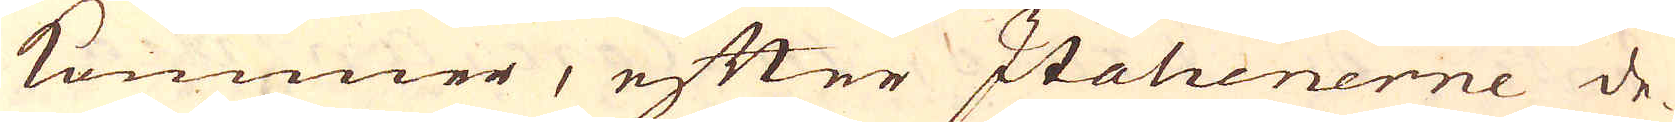kommer, efter Italienerne de-
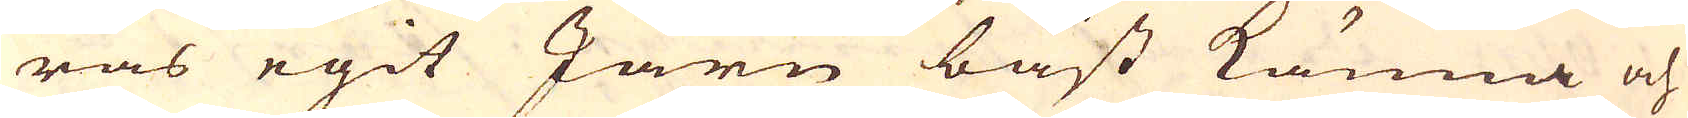ras egit Järn bäst känna och
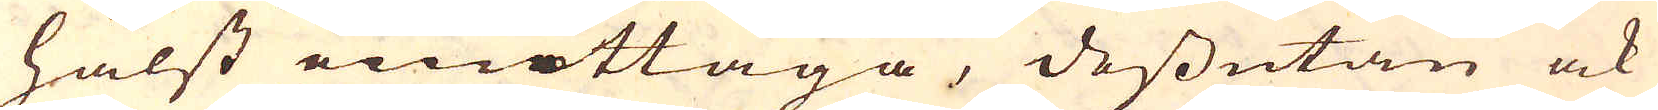hälst emottaga, dessutan ock
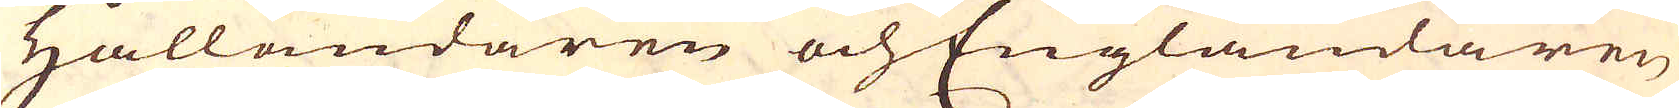Hålländaren och Engländaren
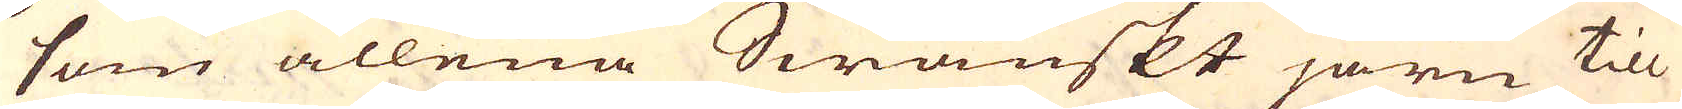som allena Swänskt järn till
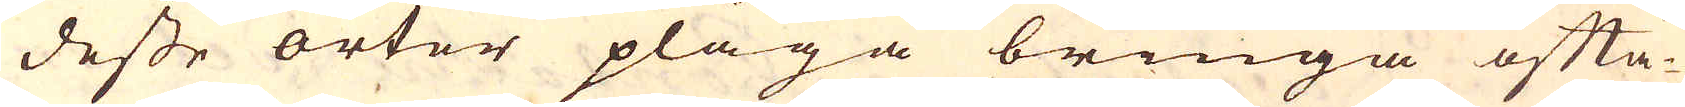desse orter pläga bringa ofta-
